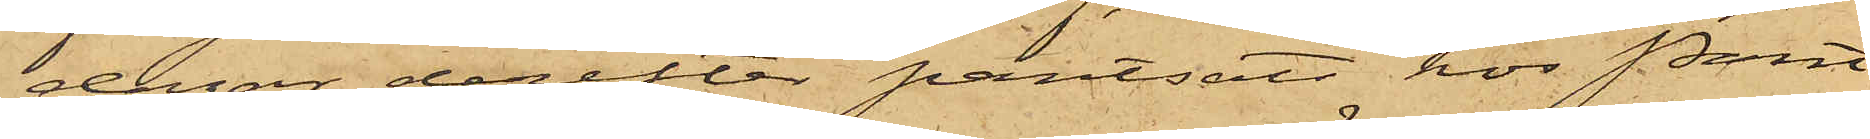dagar derefter pantsatt hos Pant¬
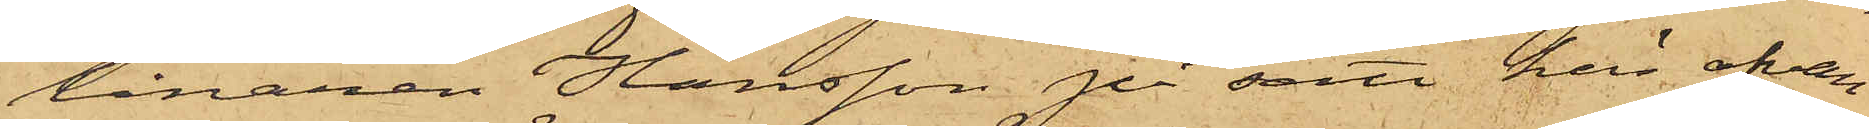lånaren Hansson på sätt här ofvan
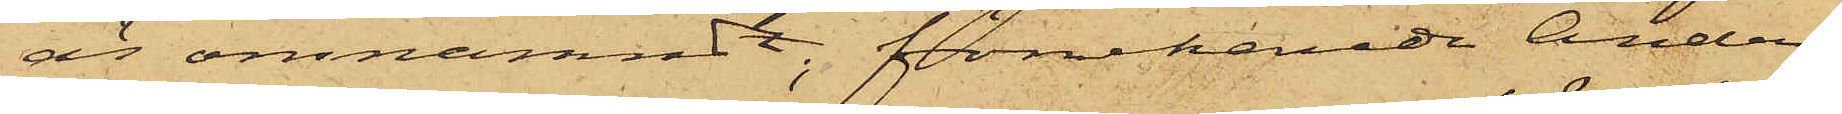är omnämndt; förnekande Anders¬
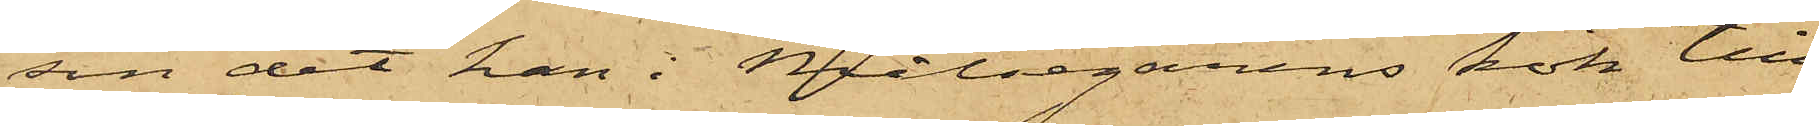son det han i Målsegarens kök till¬
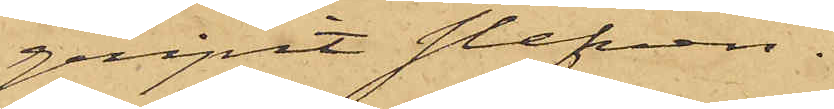gripit slefven.
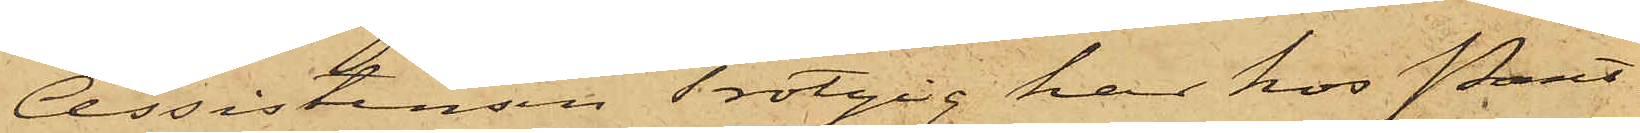Assistensen Trotzig har hos Pant¬
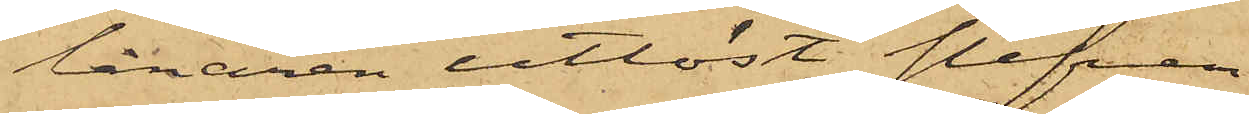lånaren utlöst slefven.
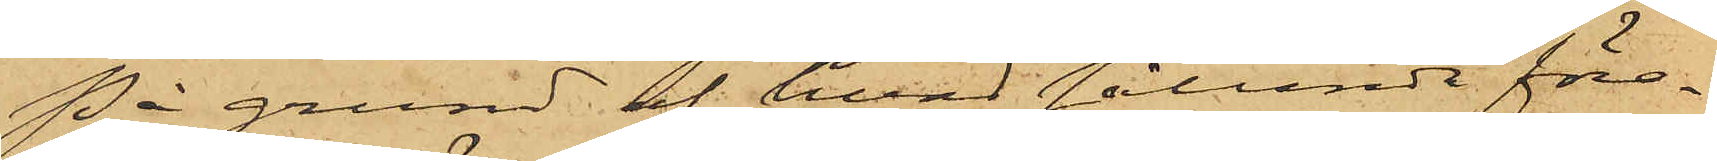På grund af hvad sålunda före¬
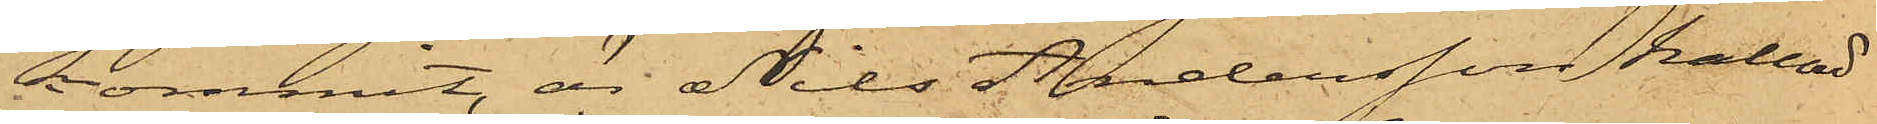kommit, är Nils Andersson kallad
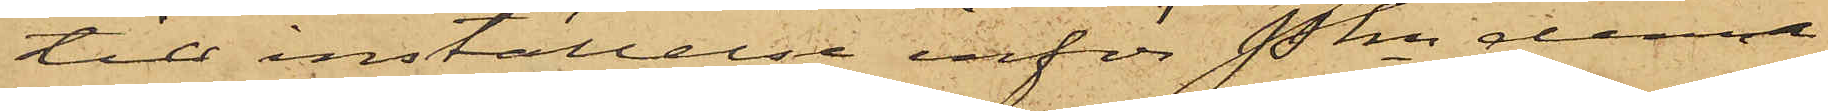till inställelse inför Pkn denna
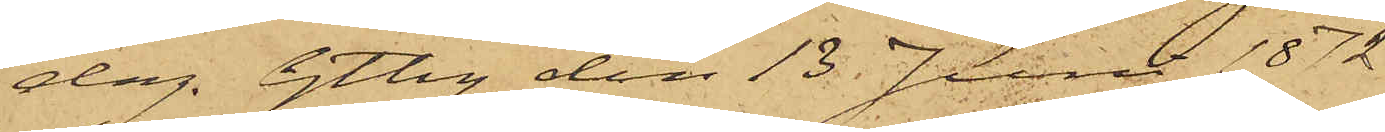dag. Gtbg den 13 Juni 1872.
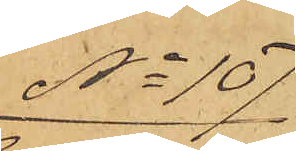No 107
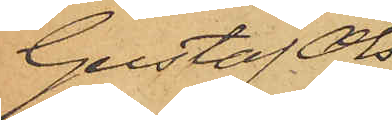Gustaf Ols¬
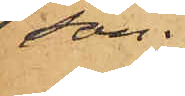son.
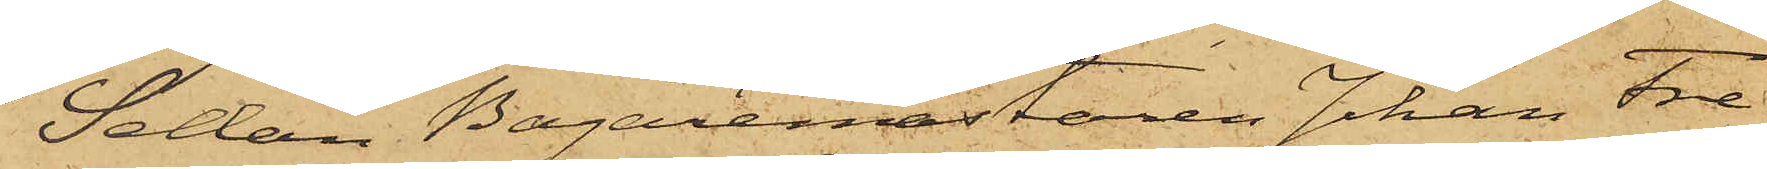Sedan Bagaremästaren Johan Fre¬
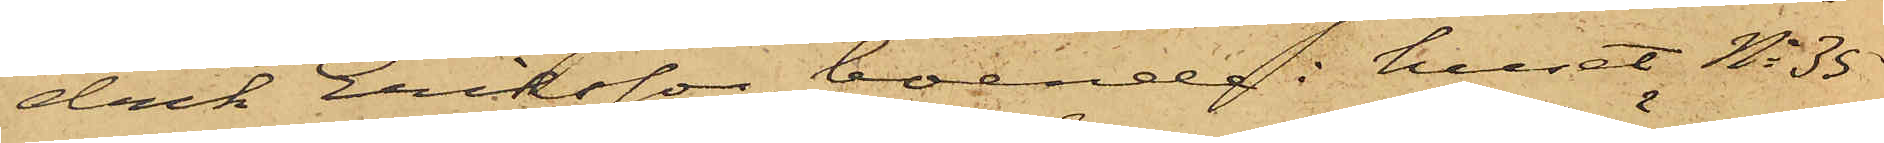drik Eriksson, boende i huset No 35
